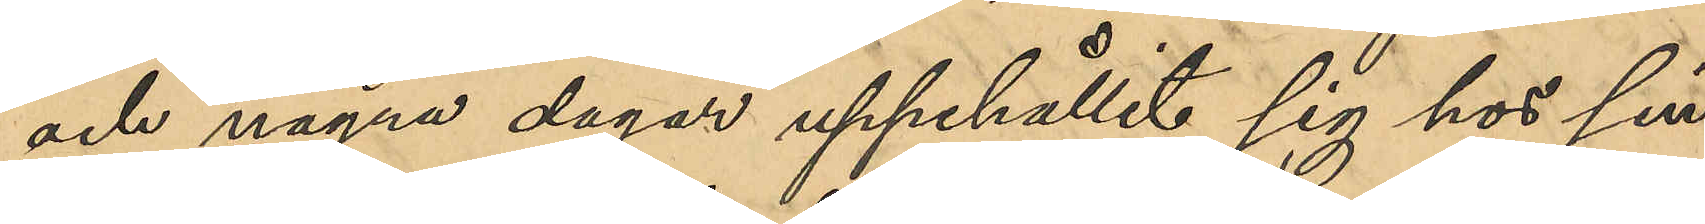och några dagar uppehållit sig hos sin
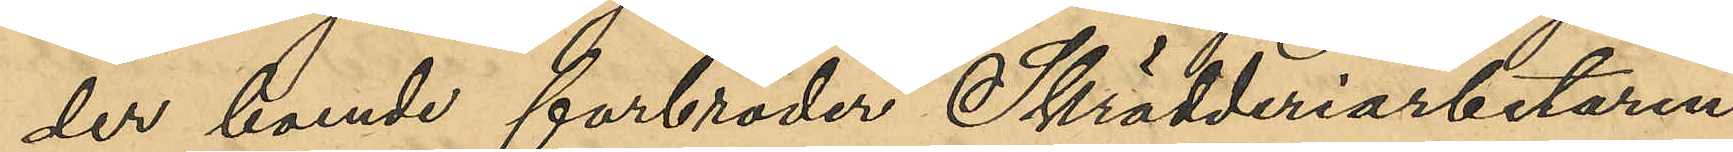der boende farbroder Skrädderiarbetaren
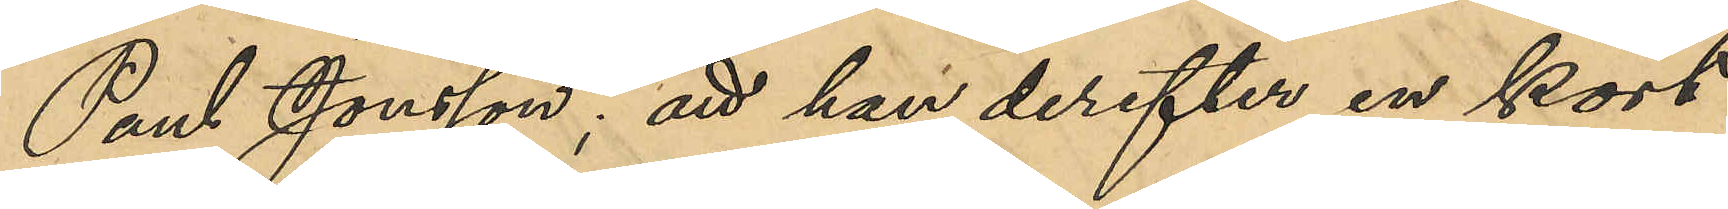Paul Jonsson; att han derefter en kort
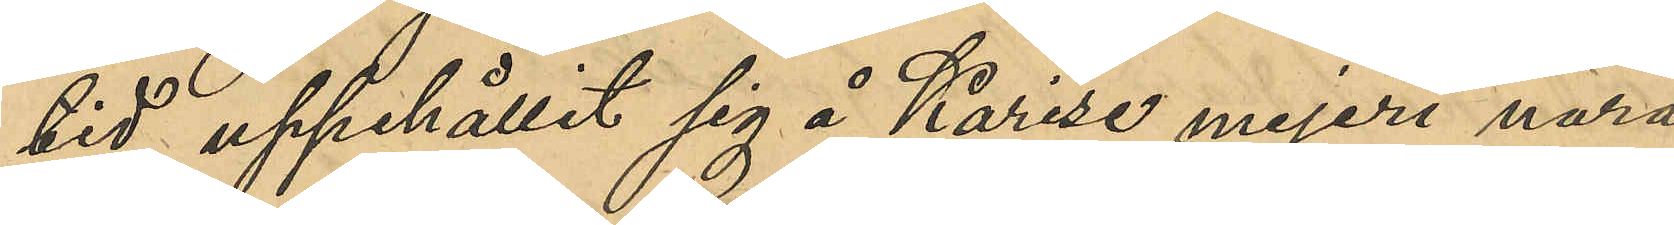tid uppehållit sig å Karise mejeri nära
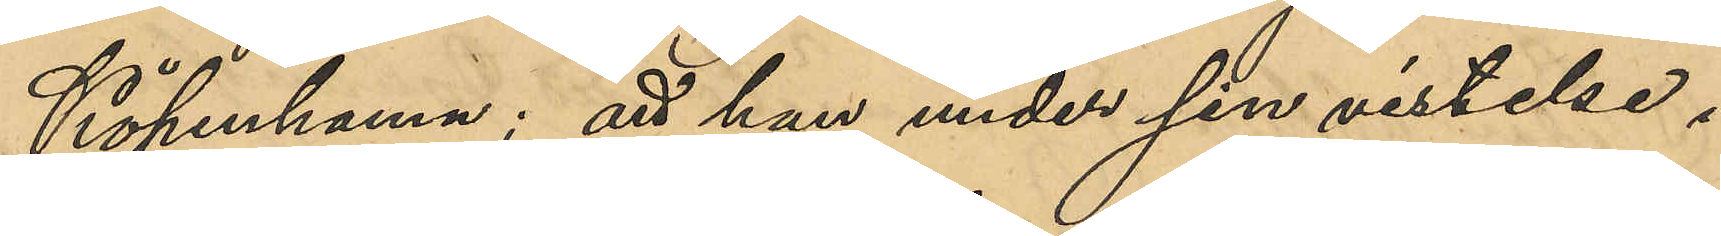Köpenhamn; att han under sin vistelse i
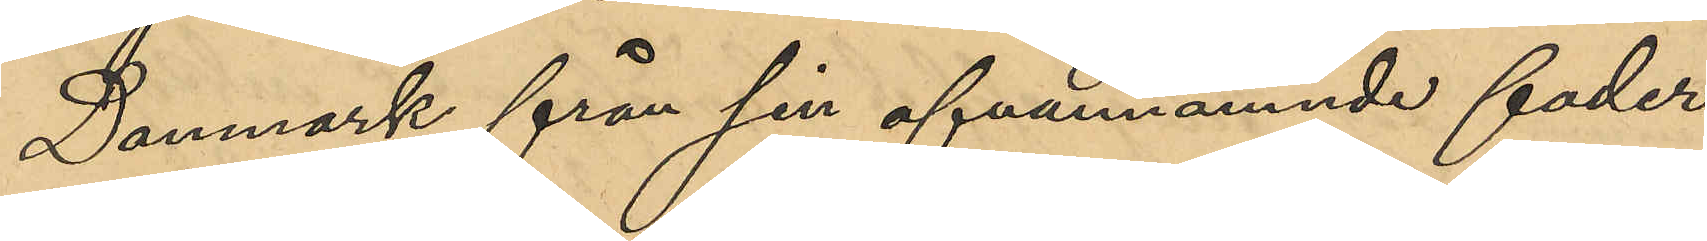Danmark från sin ofvannämnde fader
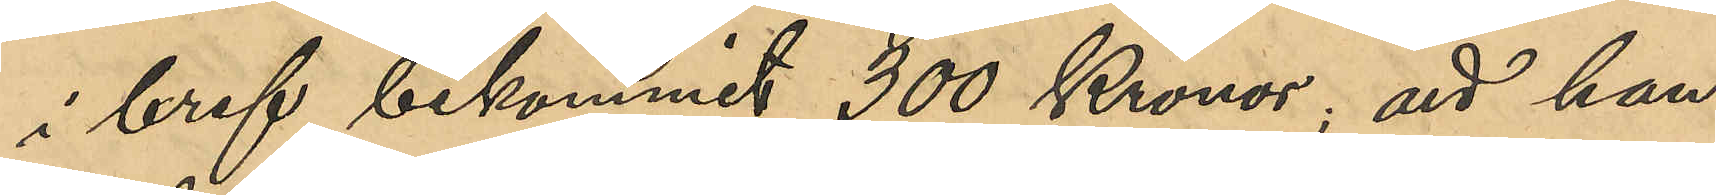i bref bekommit 300 Kronor; att han 
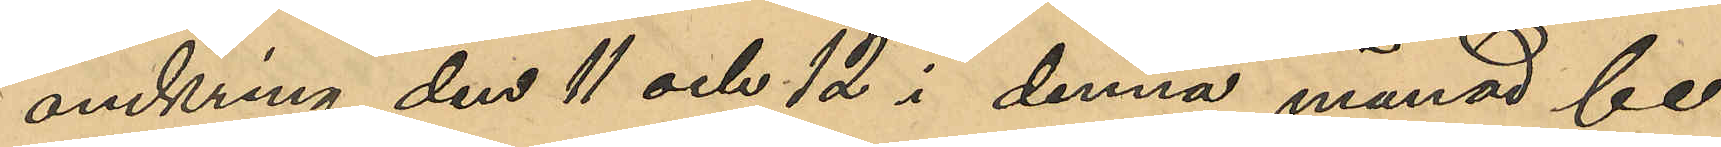omkring den 11 och 12 i denna månad be¬
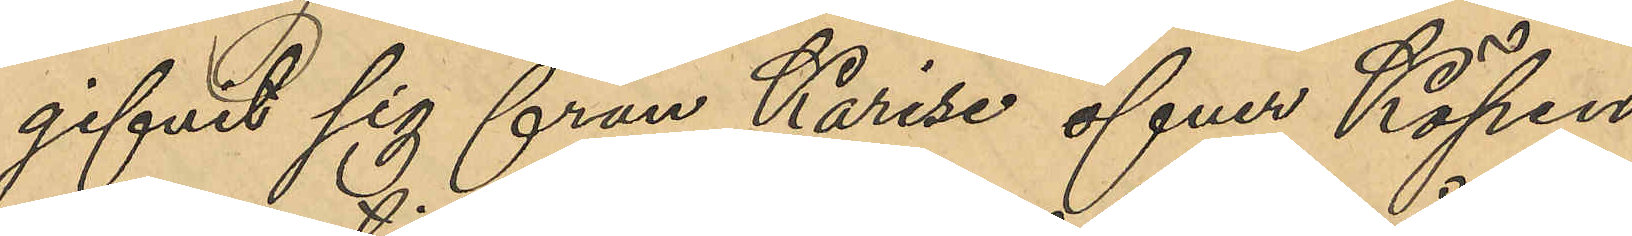gifvit sig från Karise öfver Köpen¬
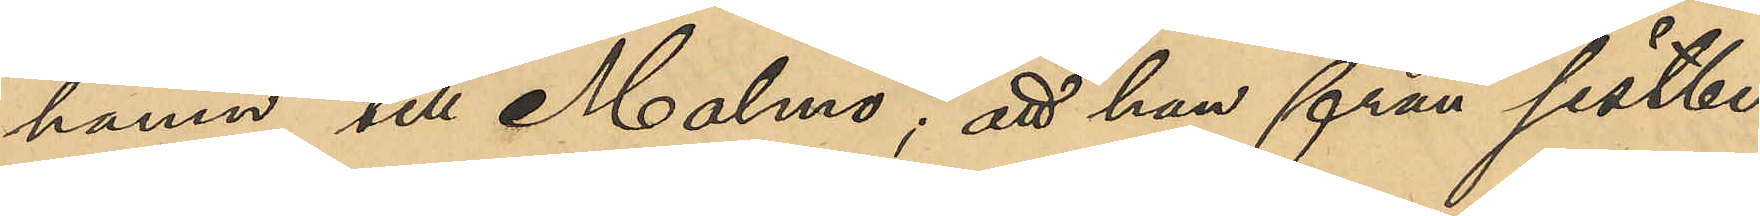hamn till Malmö; att han från sistli¬
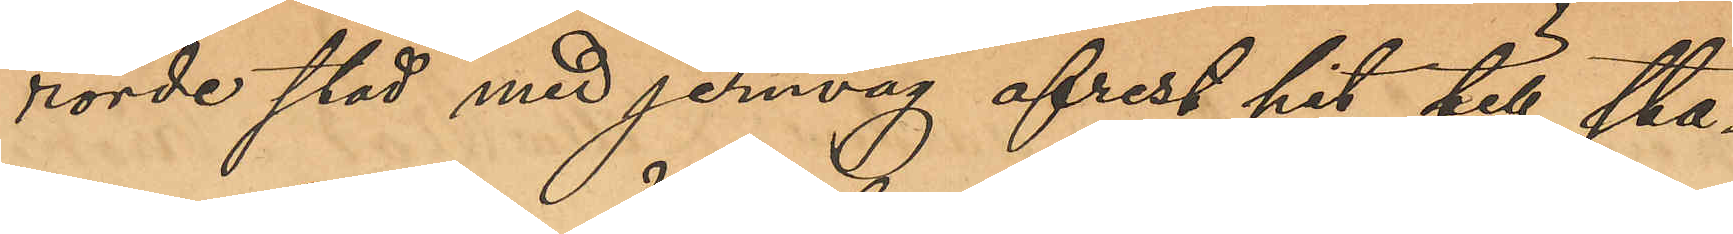rörde stad med jernväg afrest hit till sta¬
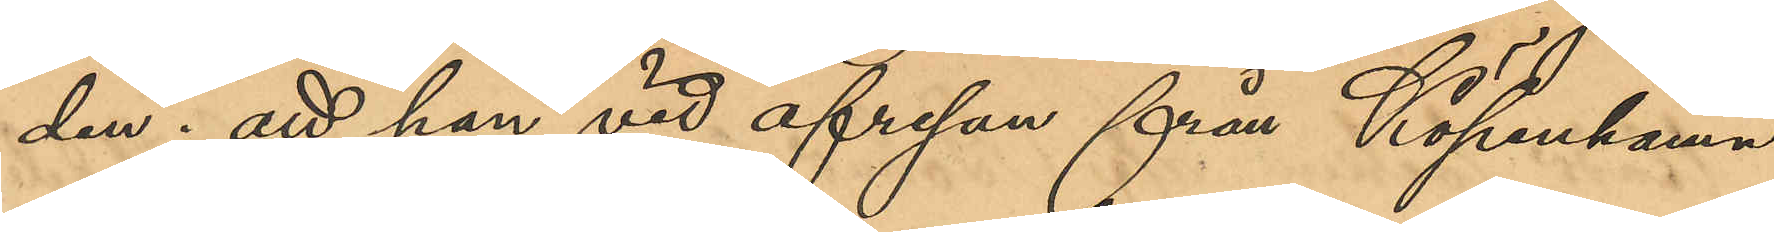den; att han vid afresan från Köpenhamn
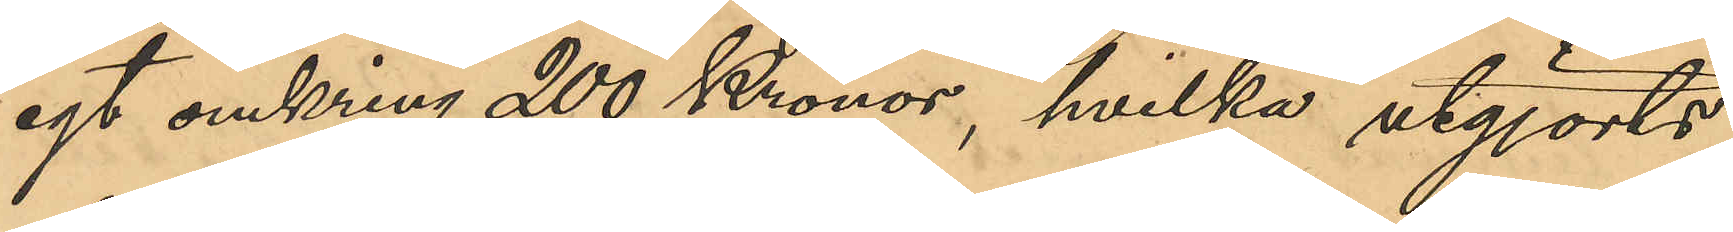egt omkring 200 Kronor, hvilka utgjorts
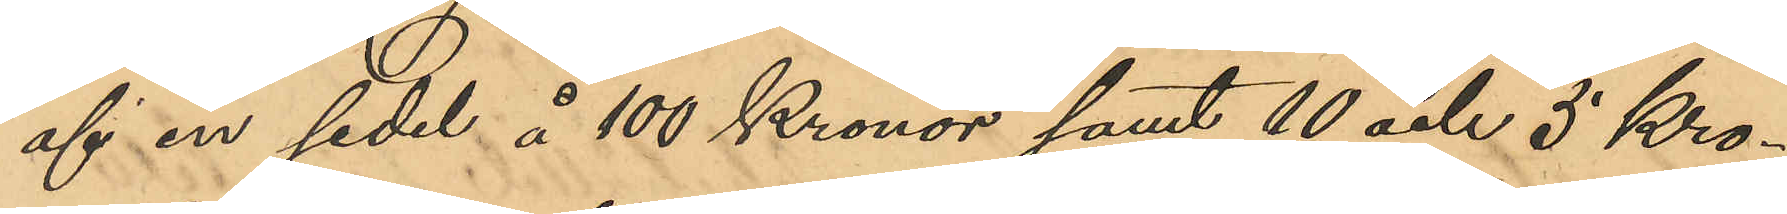af en sedel å 100 Kronor samt 10 och 5 Kro¬
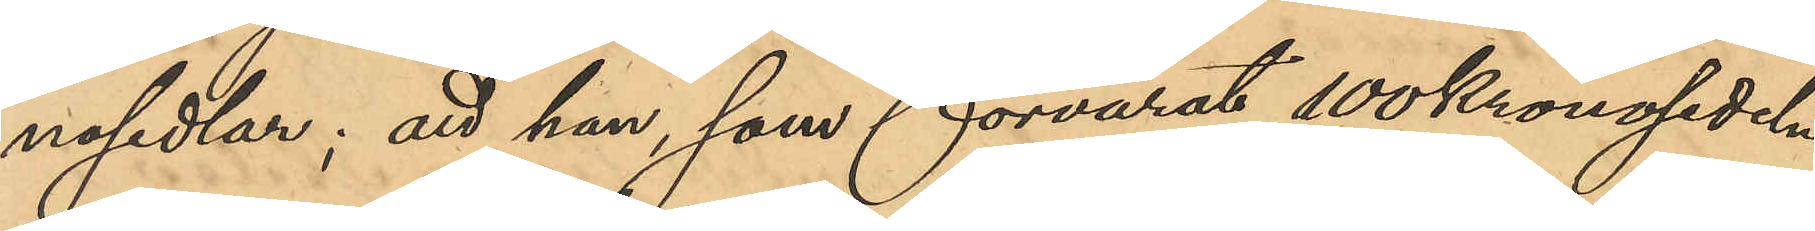nosedlar; att han som förvarat 100kronosedeln
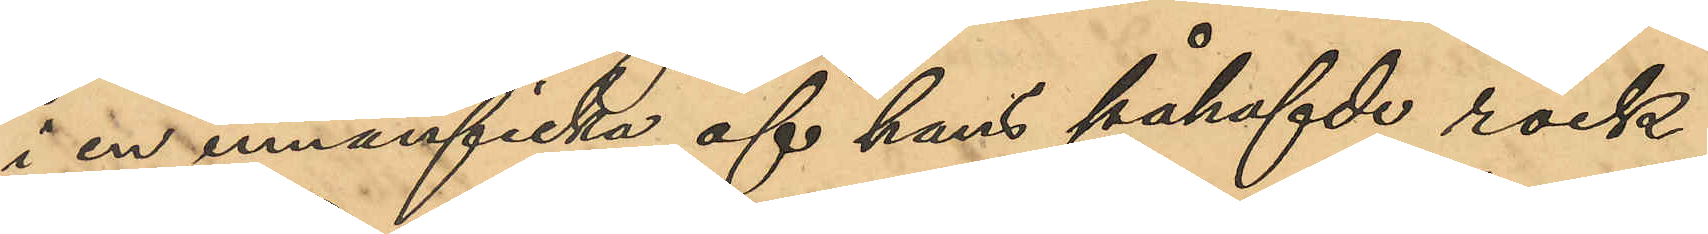i en innerficka af hans påhafde rock
